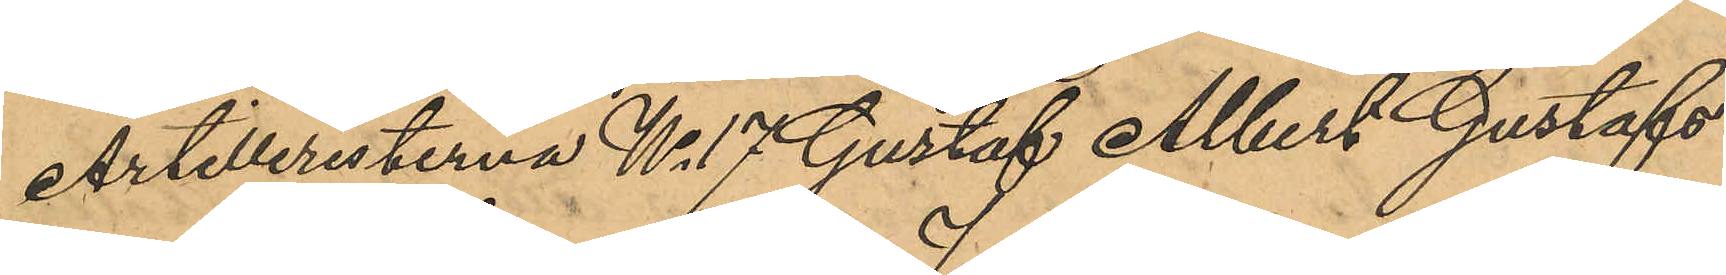Artilleristerna No 17 Gustaf Albert Gustafs¬
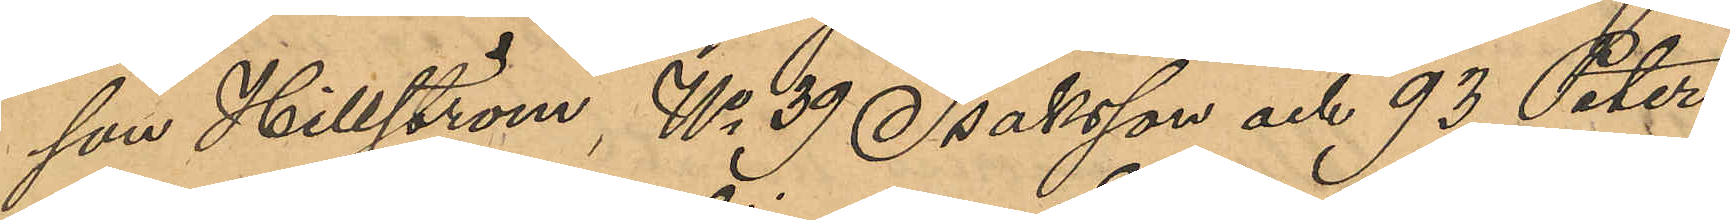son Hillerström, No 39 Isaksson och 93 Peters¬
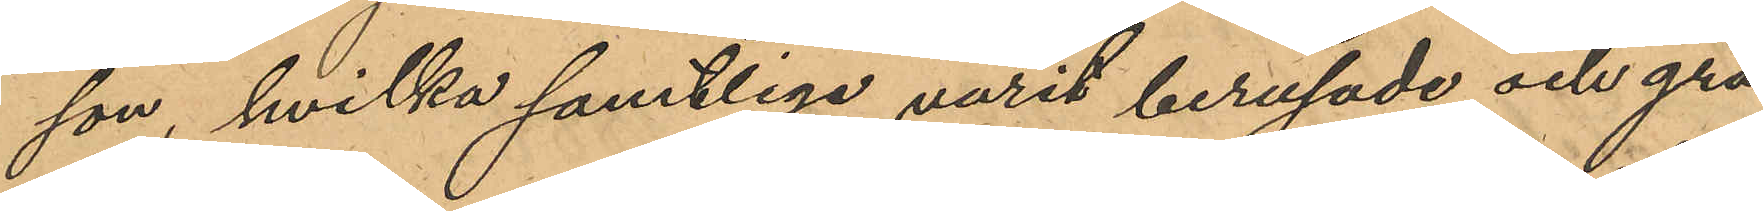son, hvilka samtliga varit berusade och grä¬
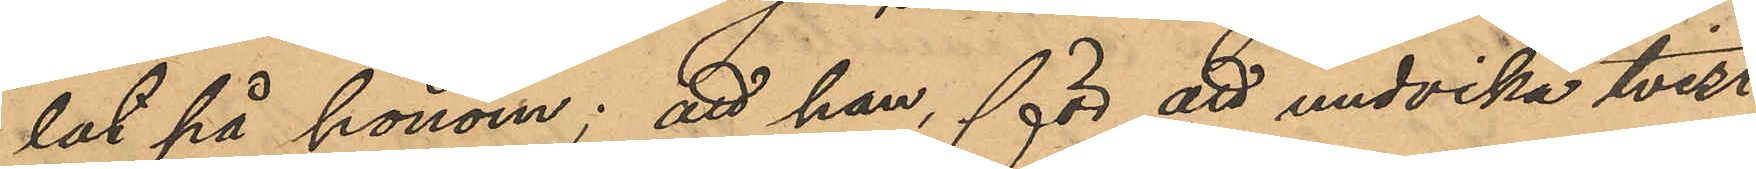lat på honom; att han, för att undvika tvist
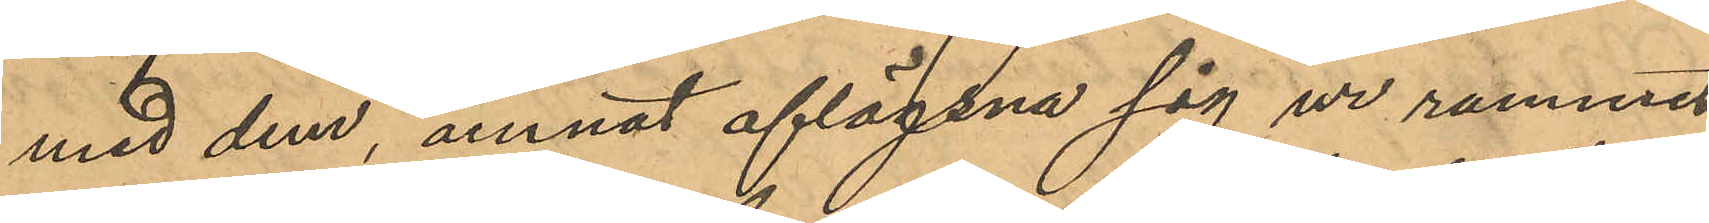med dem, ämnat aflägsna sig ur rummet
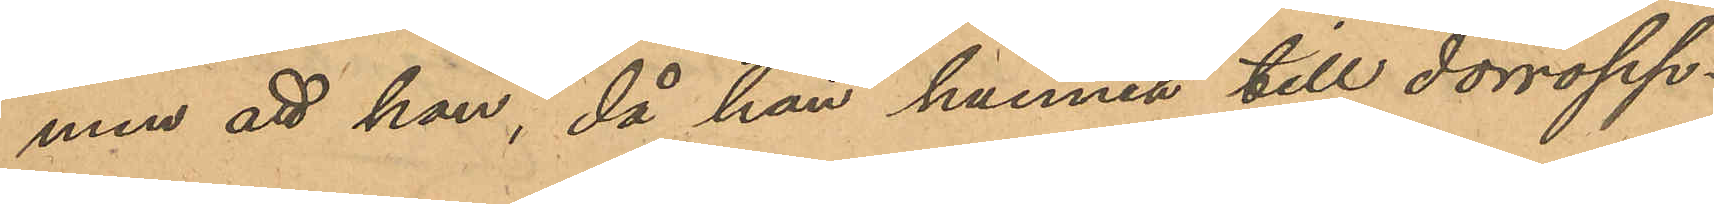men att han, då han hunnit till dorröpp¬
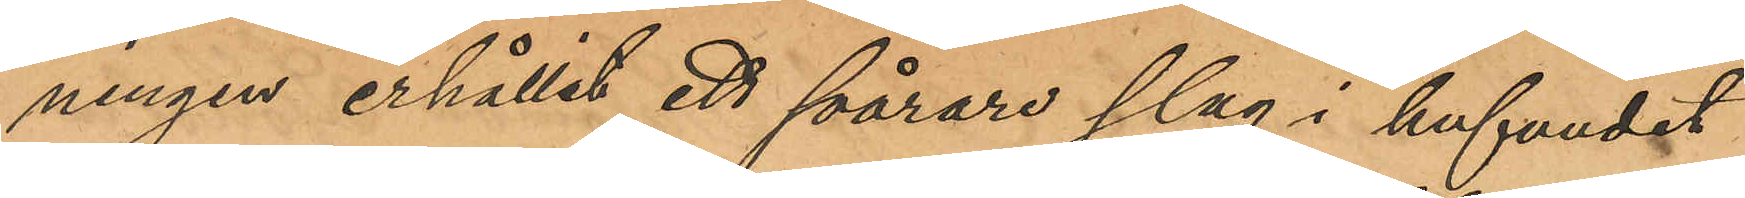ningen erhållit ett svårare slag i hufvudet
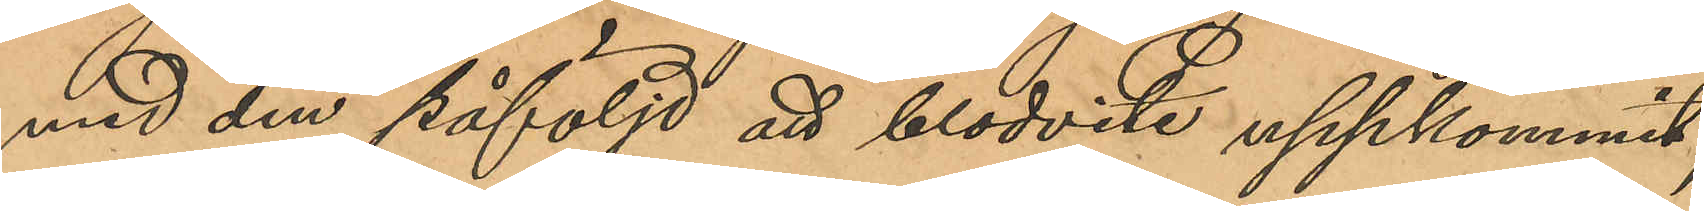med den påföljd att blodvite uppkommit;
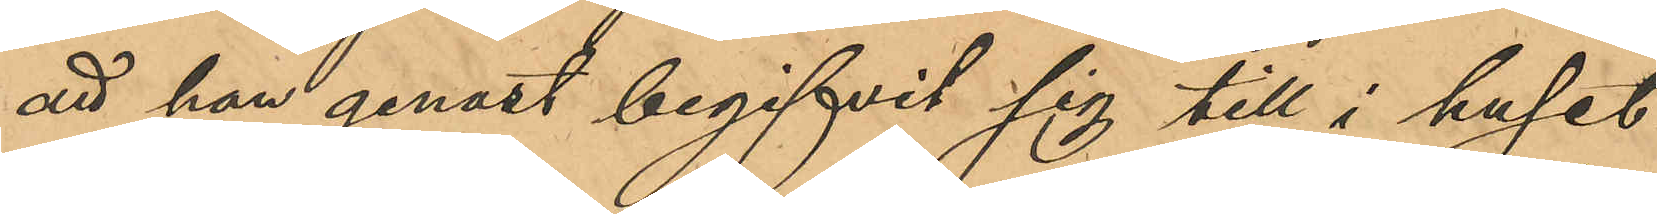att han genast begifvit sig till i huset
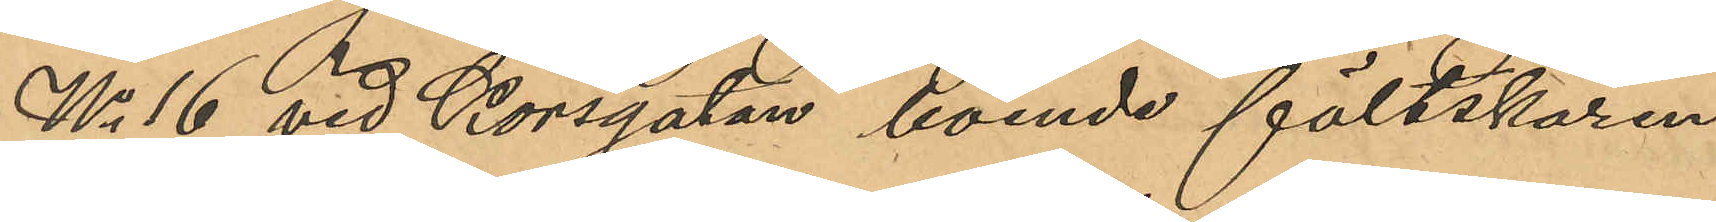No 16 vid Korsgatan boende fältskären
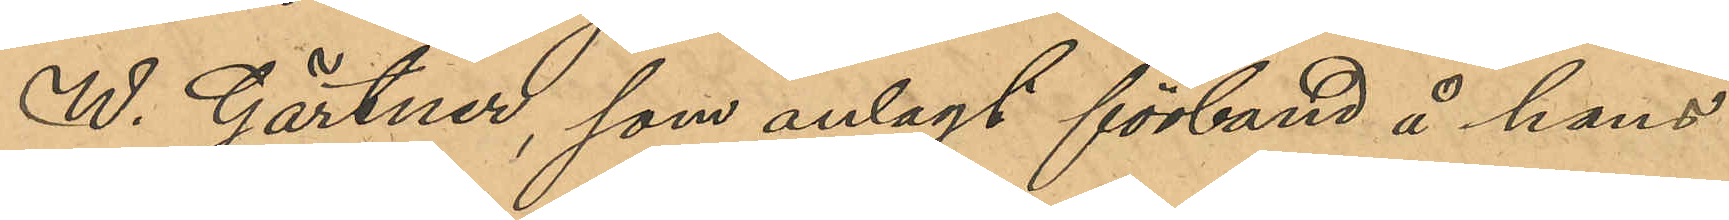W. Gärtner, som anlagt förband å hans
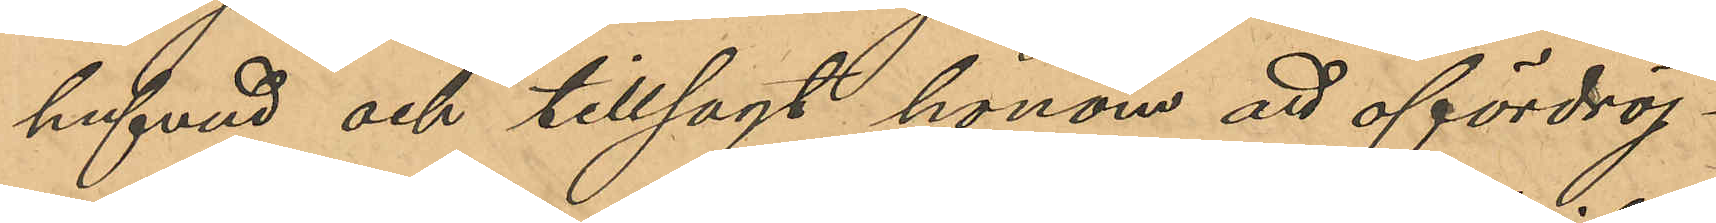hufvud och tillsagt honom att ofördröj¬
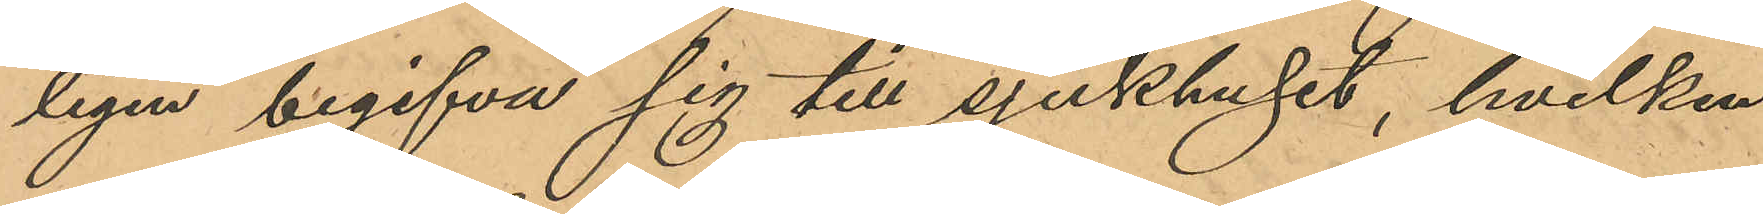ligen begifva sig till sjukhuset, hvilken
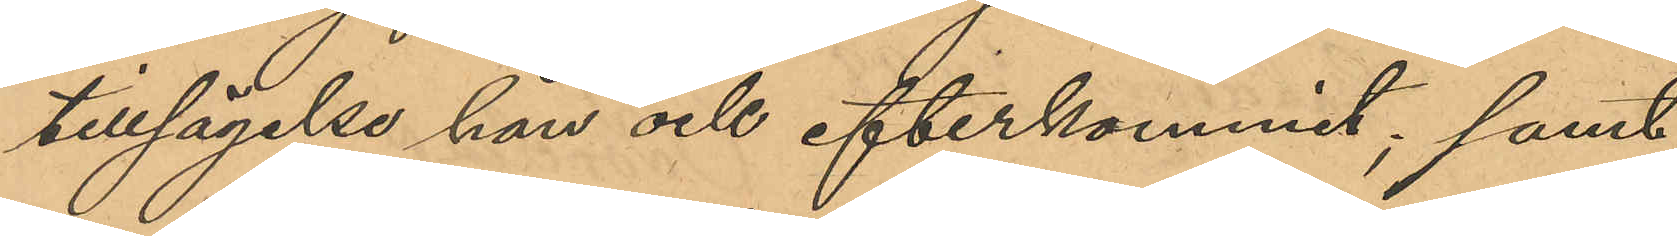tillsägelse han ock efterkommit; samt
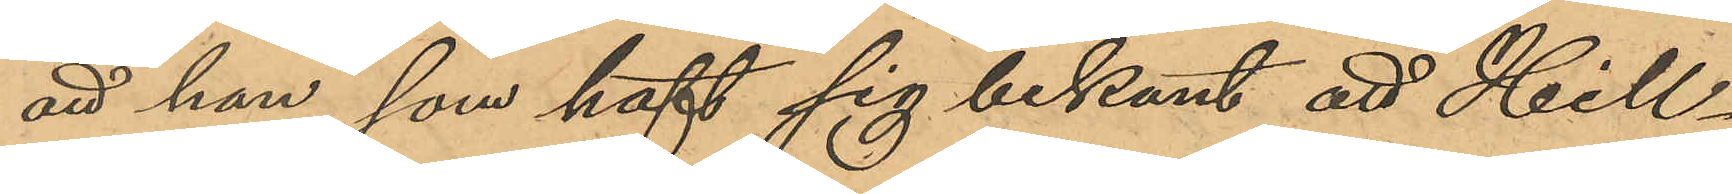att han, som haft sig bekant att Hill¬
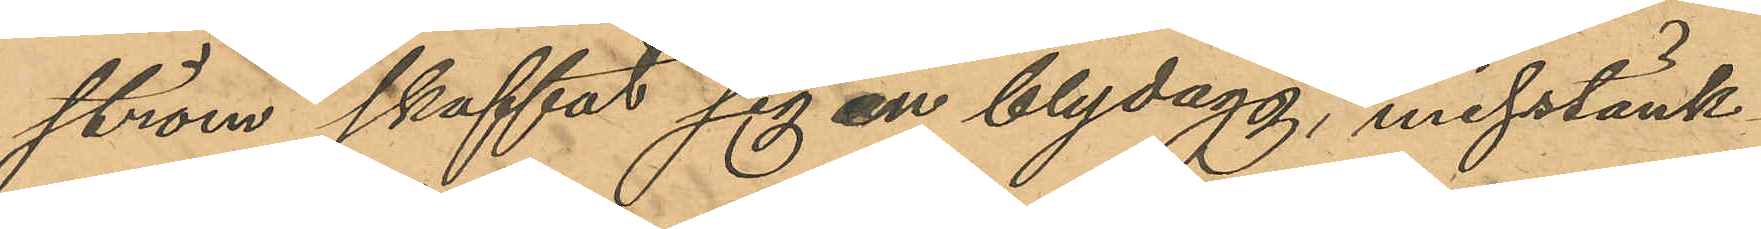ström skaffat sig en blydagg, misstänk¬
